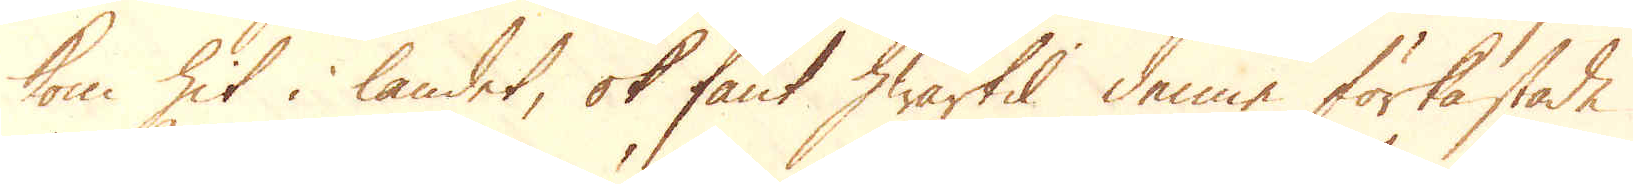kom hit i landet, ok fant hwartil denne förkastade
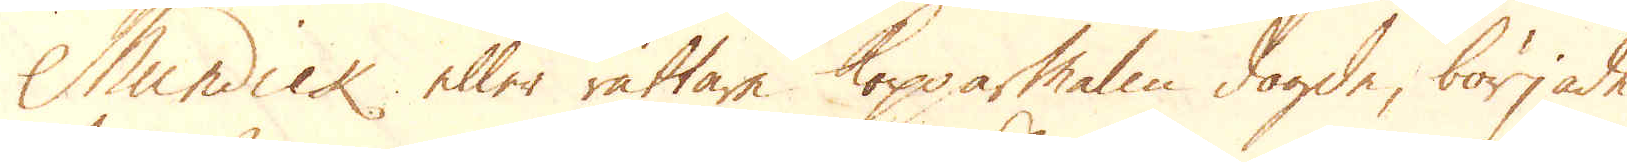Mundick eller rättare Kopparmalm dagde, började
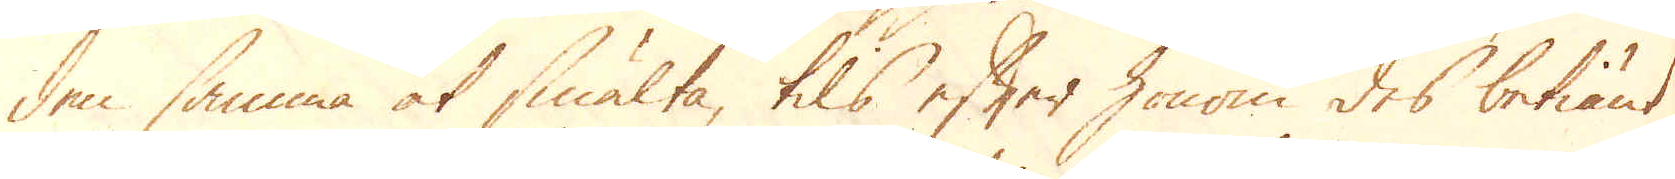den samma at smälta, tils efter honom des betiänt
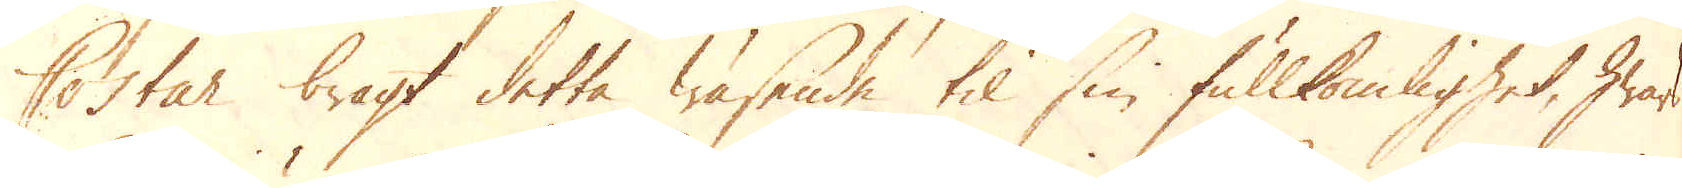Costar bragt detta Wäsende til sin fullkomlighet, hwar
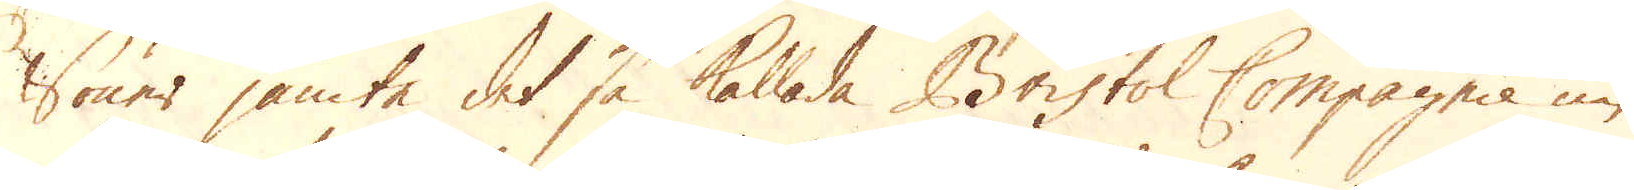söner jämta det så kallade Bristol Compagnie nu
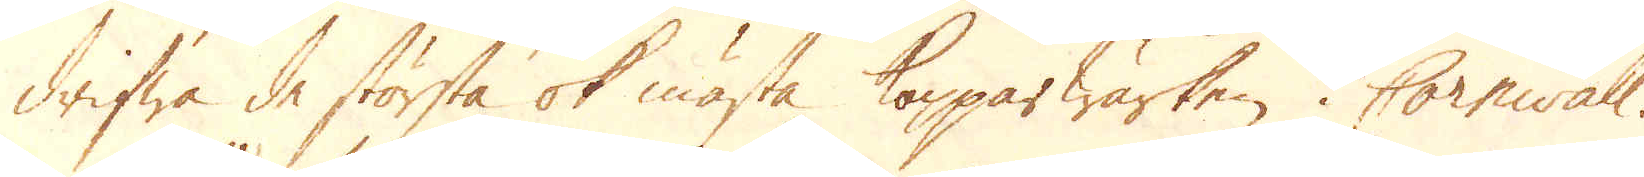drifwa de största ok mästa Kopparwärken i Cornwall.
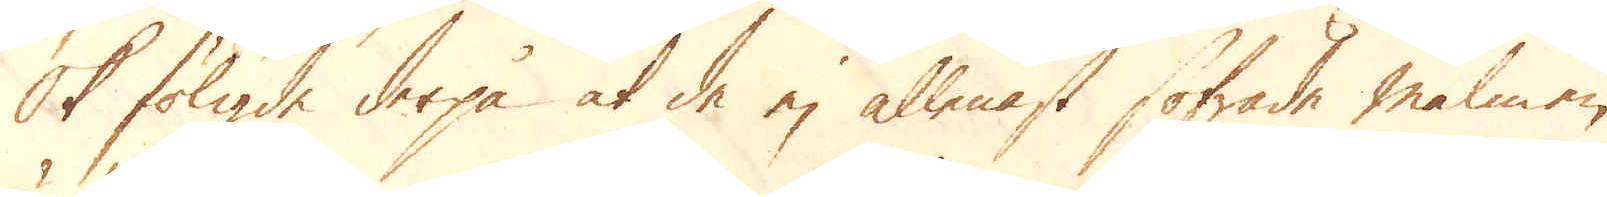Ok fölgde derpå at de ej allenast sofrade malmen
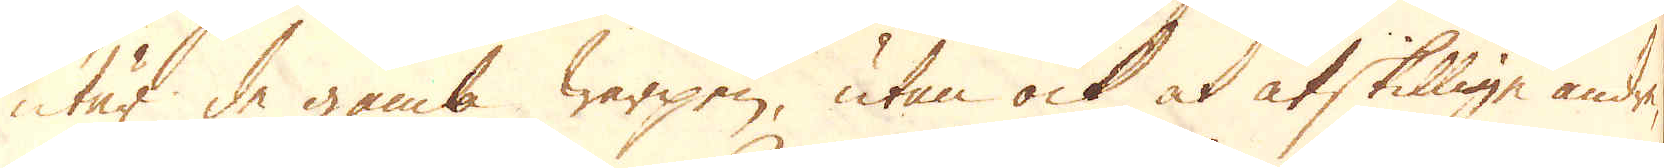utär de gamla warpen, utan ock at åtskillige andra
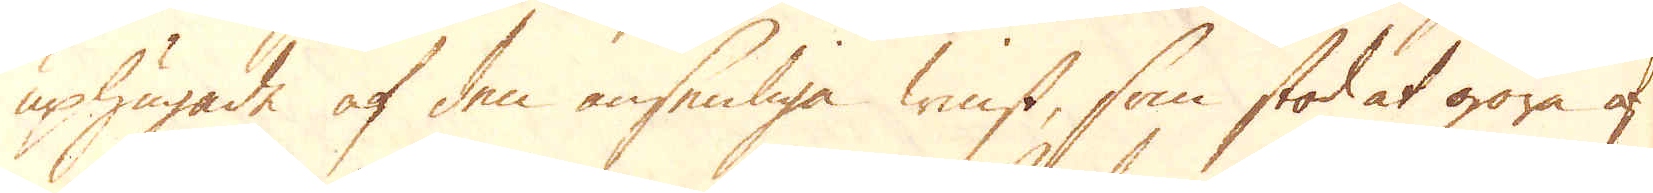uphuggade af den ansenliga tenst, som stod at göra af
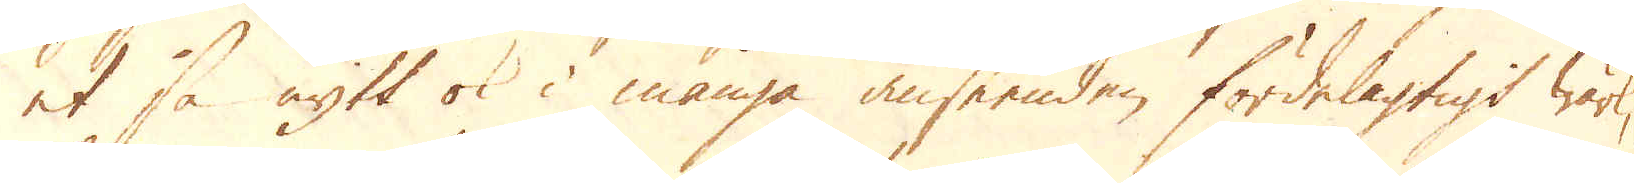et så nytt ok i många anseenden fördelagtigt wärk,
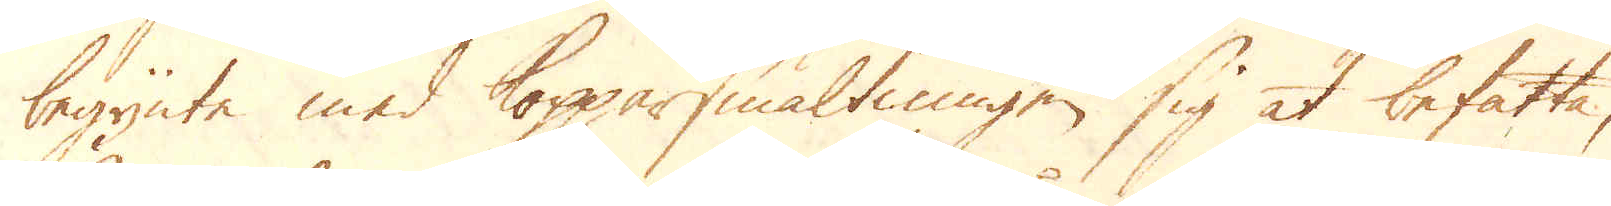begynte med Kopparsmältningen sig at befatta,
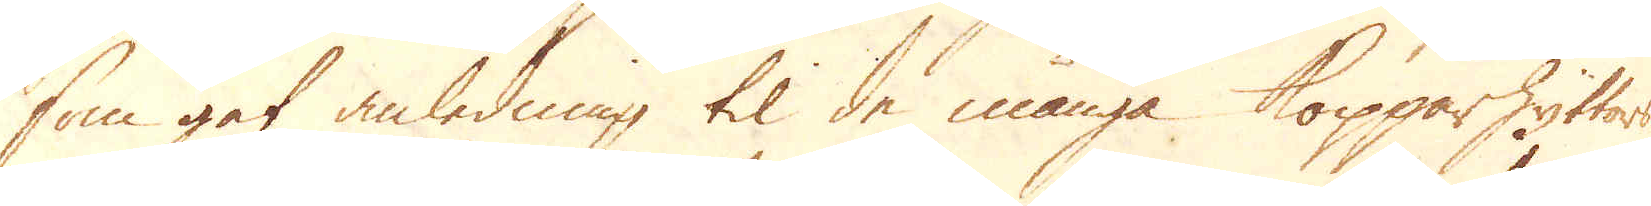som gat anledning til de många kopparhyttort
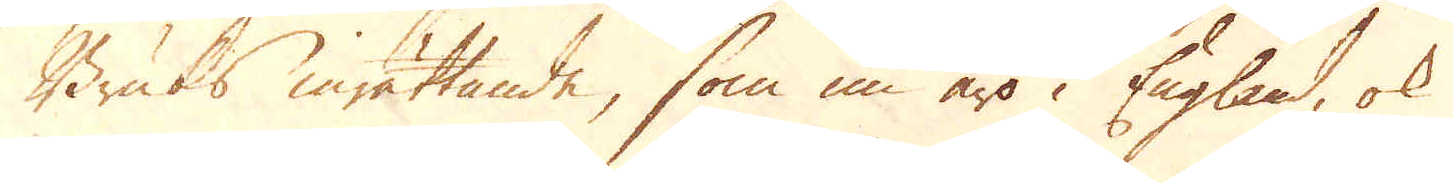Bruks inrättande, som nu äro i England, ok
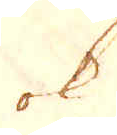ok
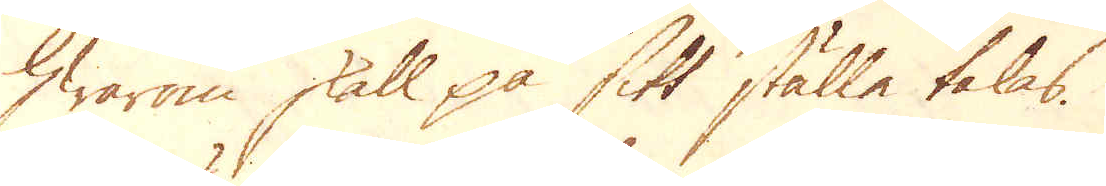hwarom skall på sitt ställe talas.
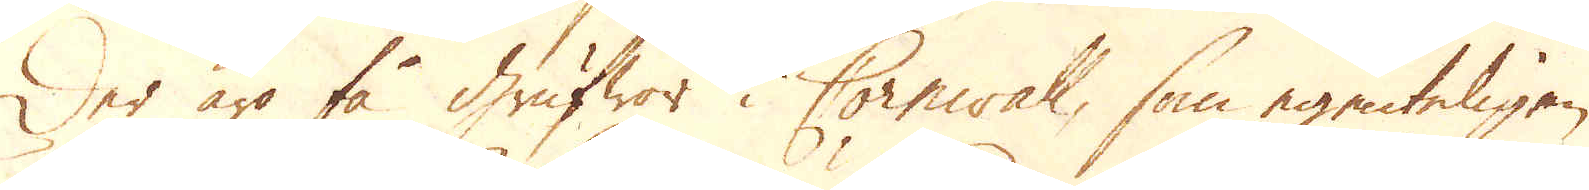Der äro få grufwor i Cornwall, som egenteligen
